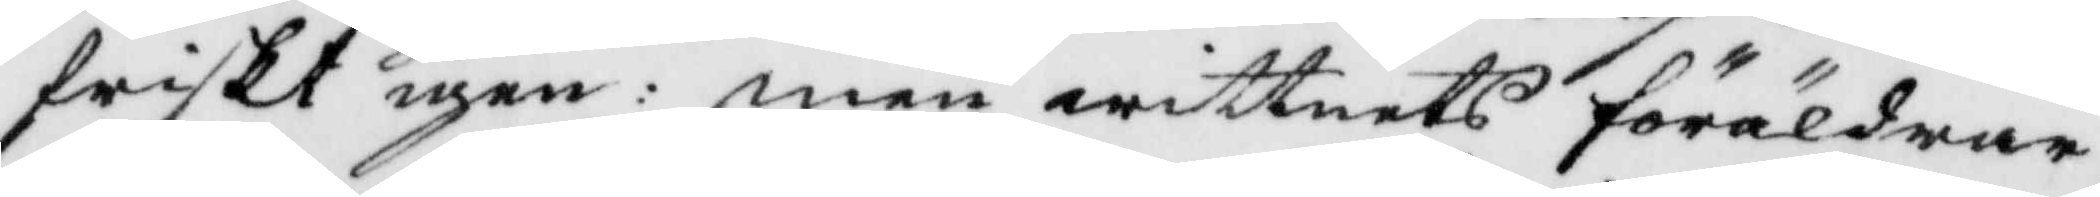friskt igen: men wittnets föräldrar
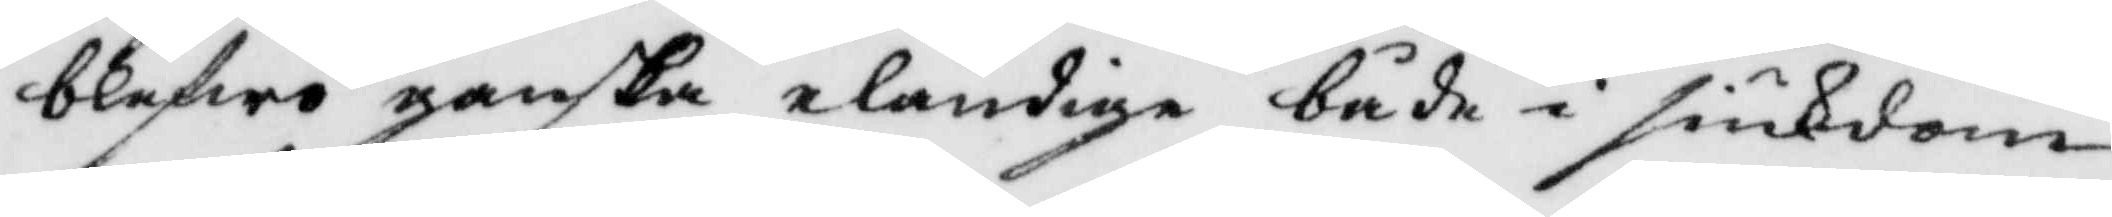blefwo ganska eländige både i siukdom
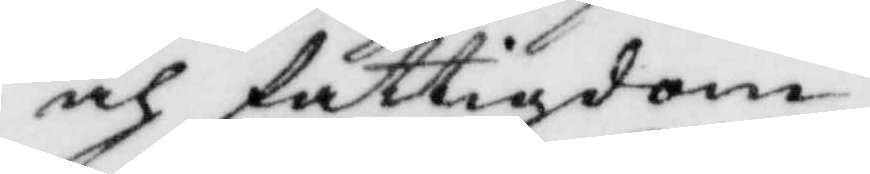och fattigdom.
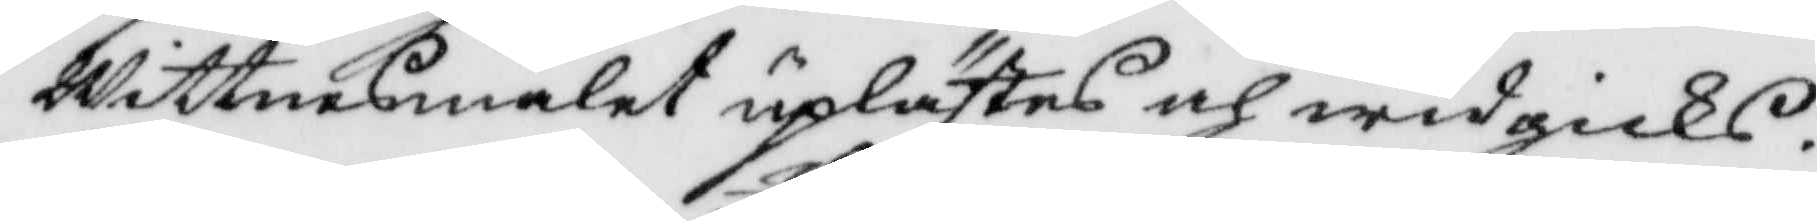Wittnesmålet uplästes och widgicks.
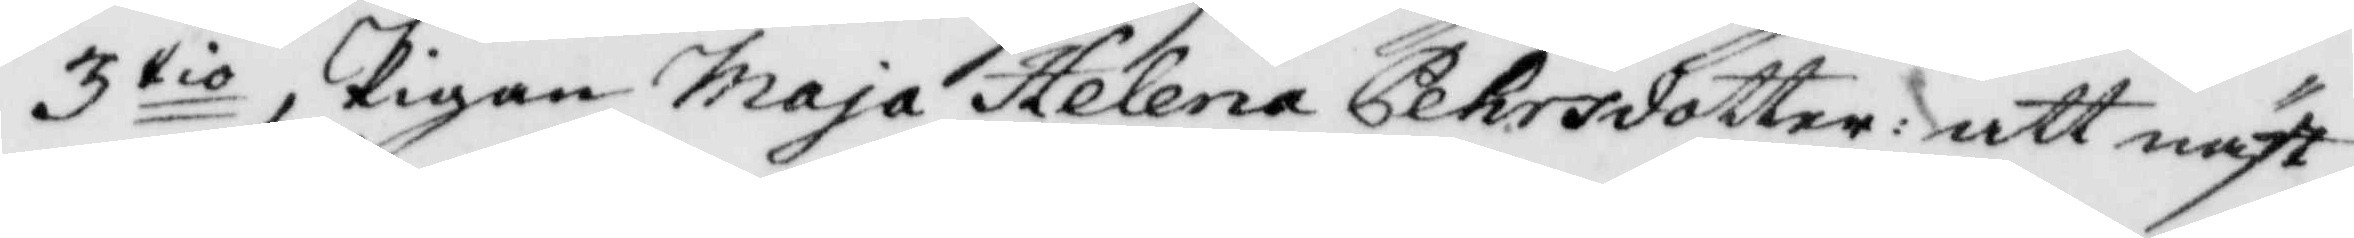3tio, Pigan Maja Helena Pehrdotter: att näst¬
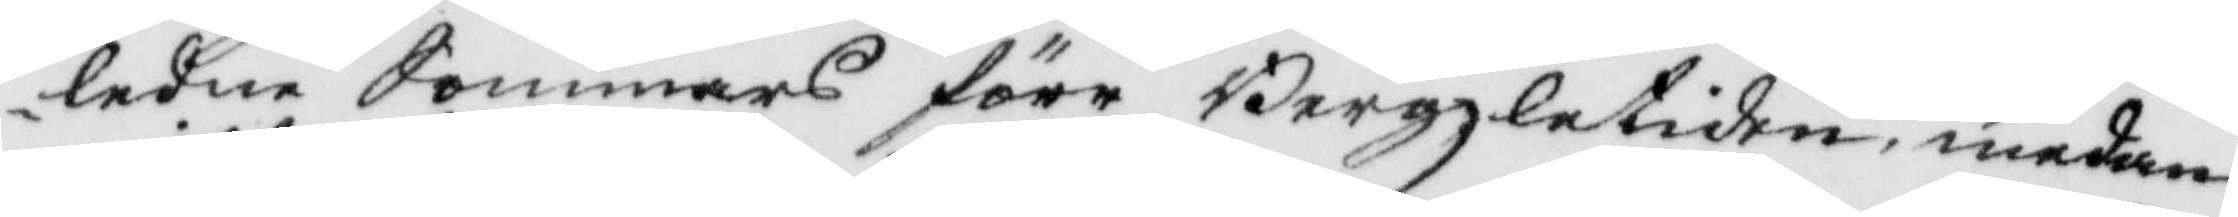ledne Sommars före Bergzletiden, medan
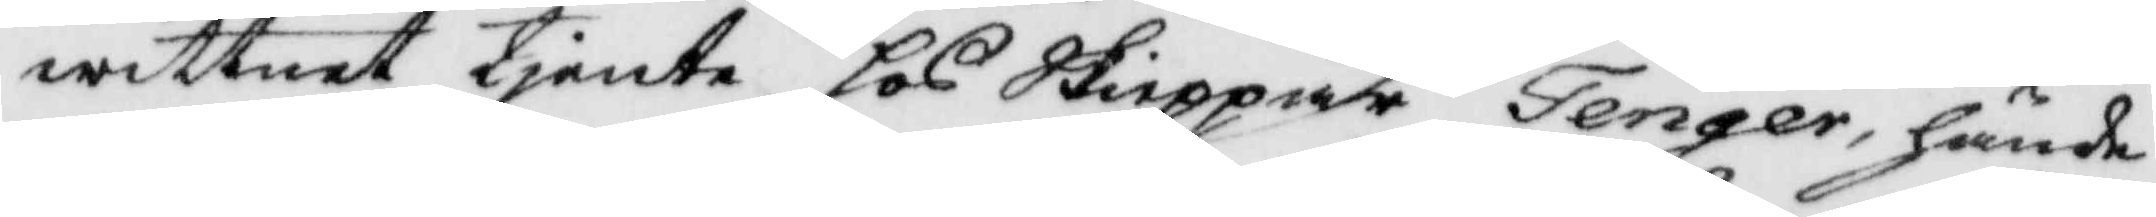wittnet tjente hos Skieppar Tenger, hände
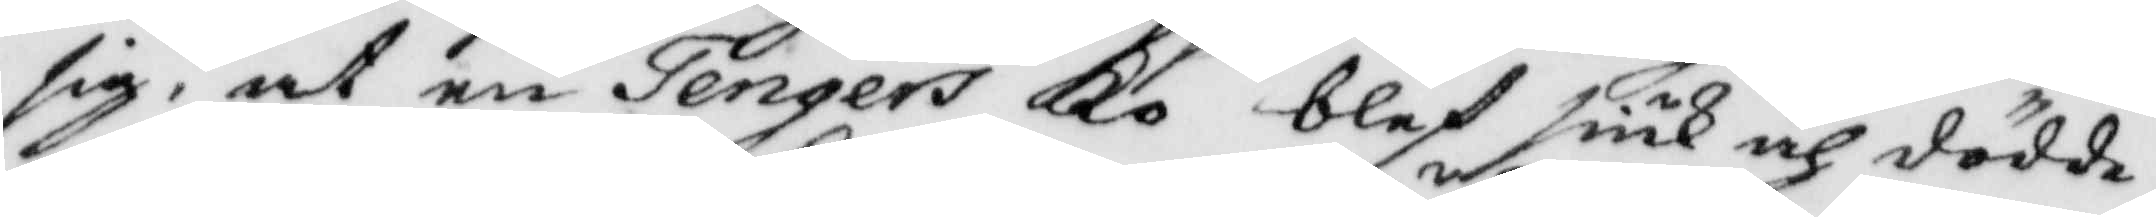sig, at en Tengers Ko blef siuk och dödde,
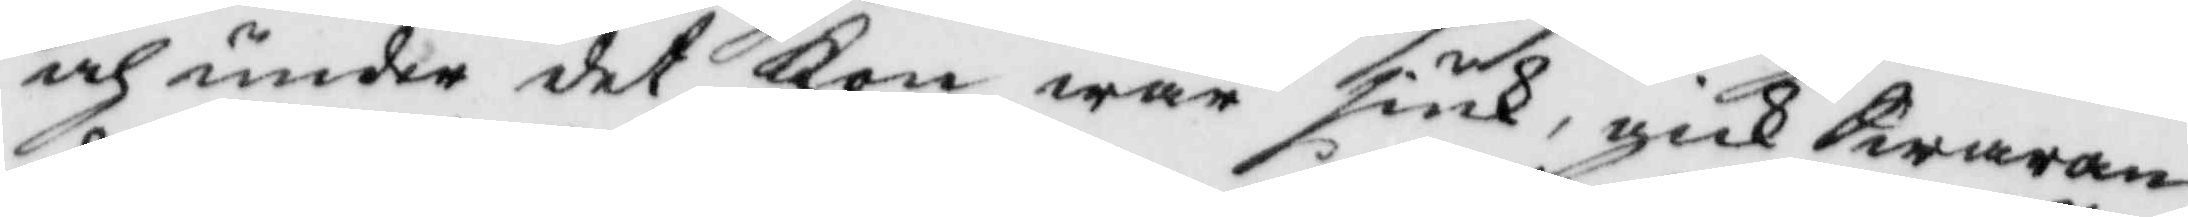och under det Kon war siuk, gick Swaran¬
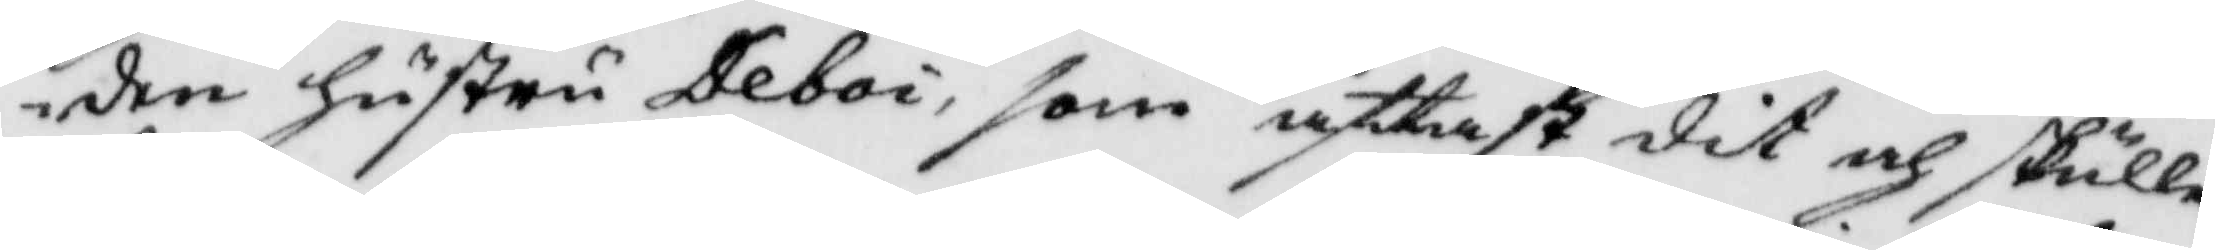den hustru Deboi, som åftast dit och skulle
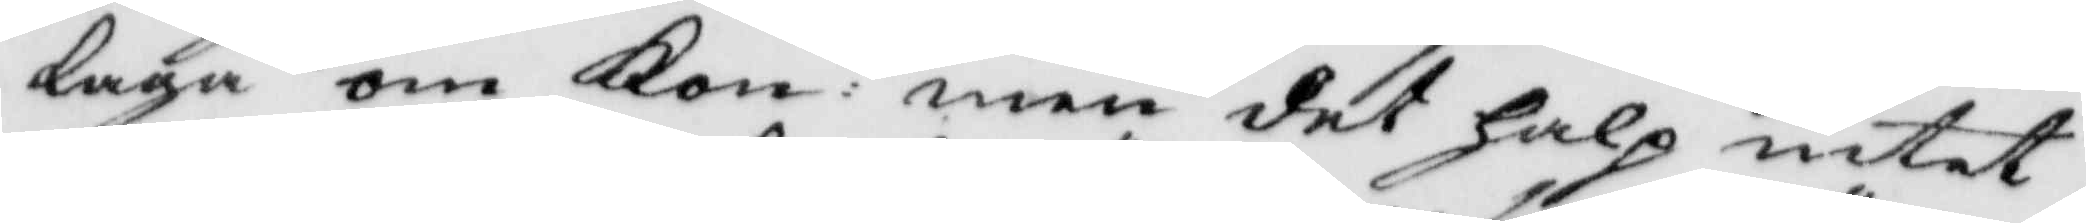Laga om kon: men det halp intet,
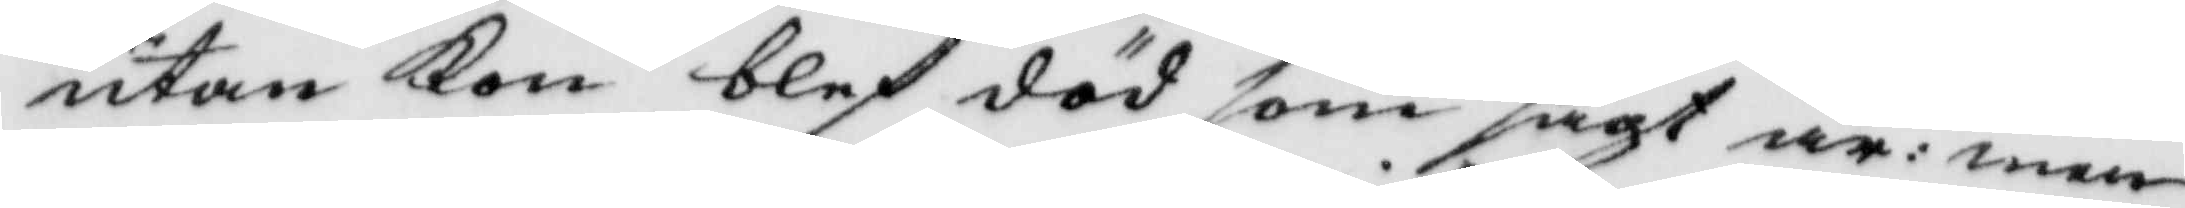utan Kon blef död som sagt är: men
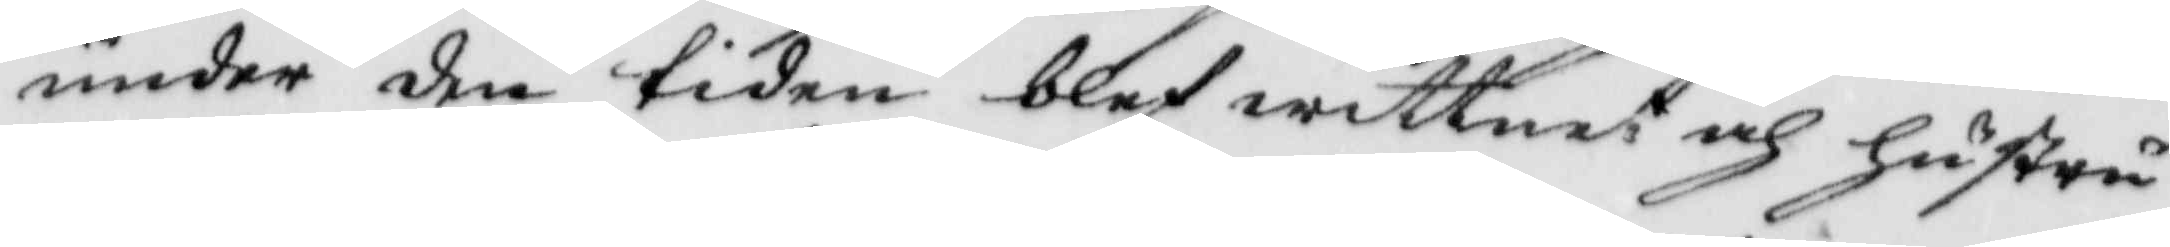under den tiden blef wittnet och hustru
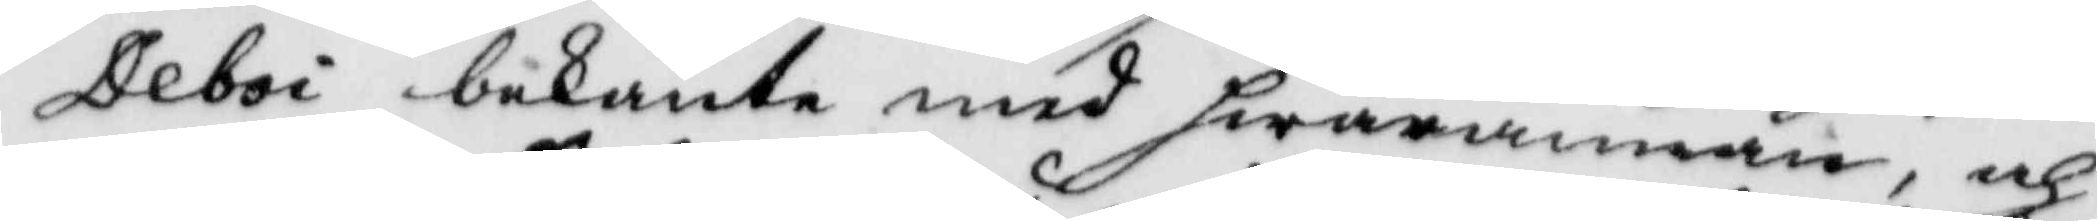Deboi bekante med hwarannan, och
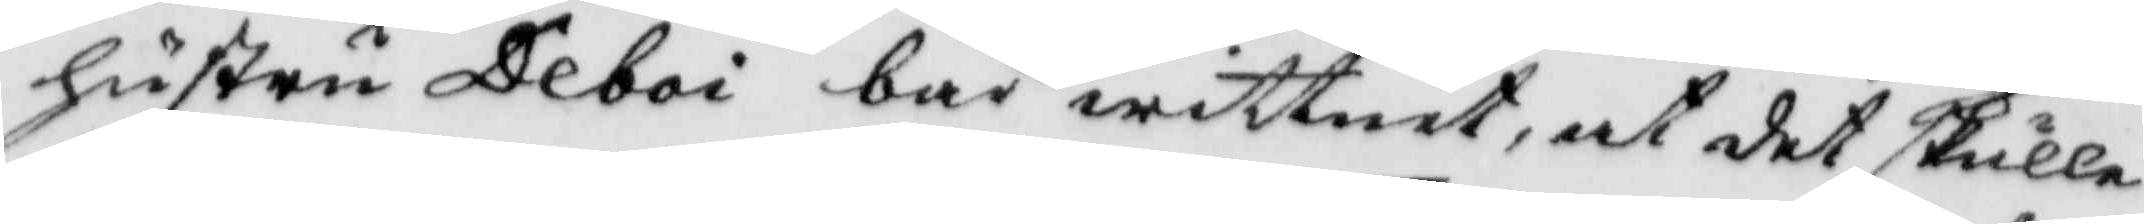hsutru Deboi bad wittnet, at det skulle
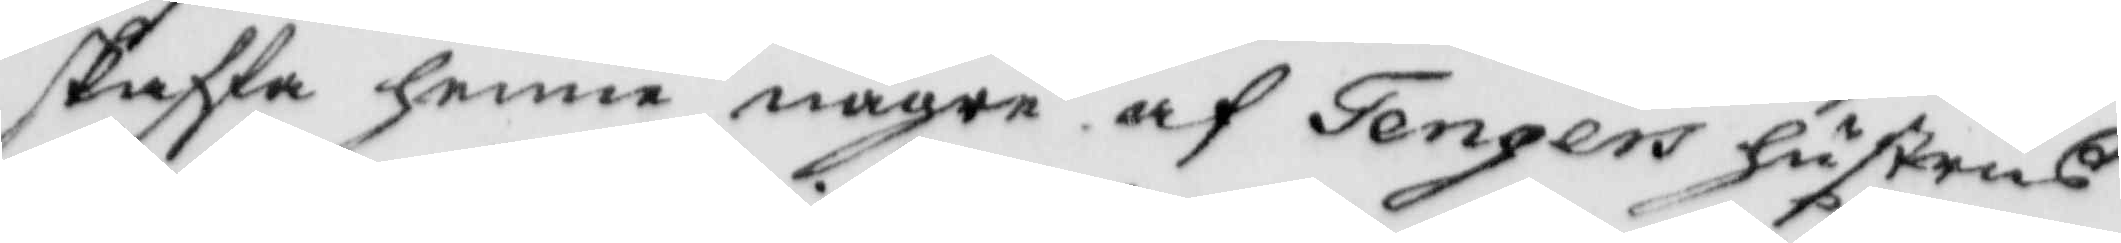saffa henne någre af Tengers hustrus
